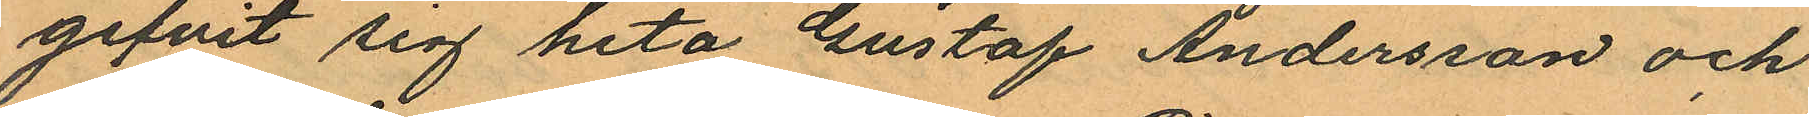gifvit sig heta Gustaf Andersson och
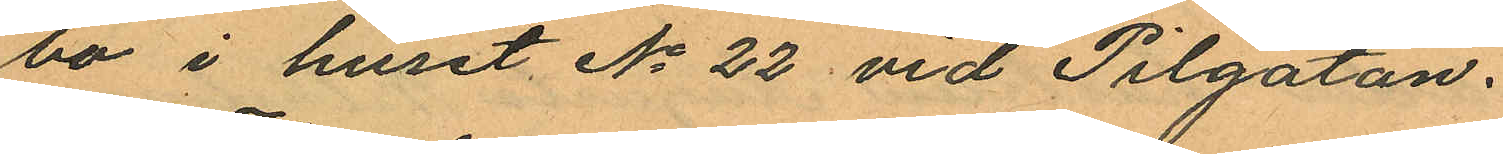bo i huset No 22 vid Pilgatan.
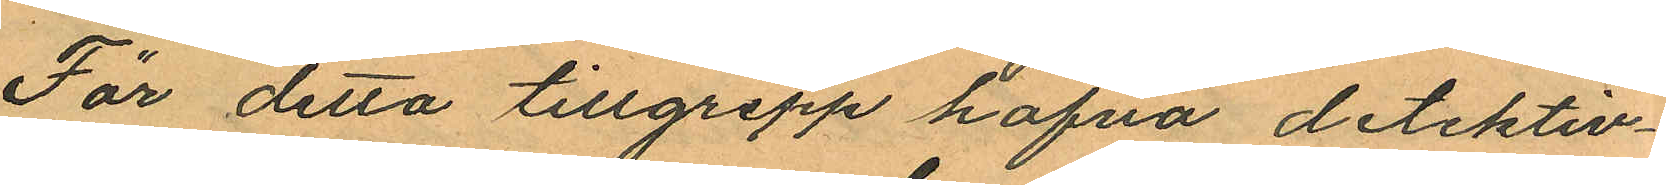För detta tillgrepp hafva detektiv¬
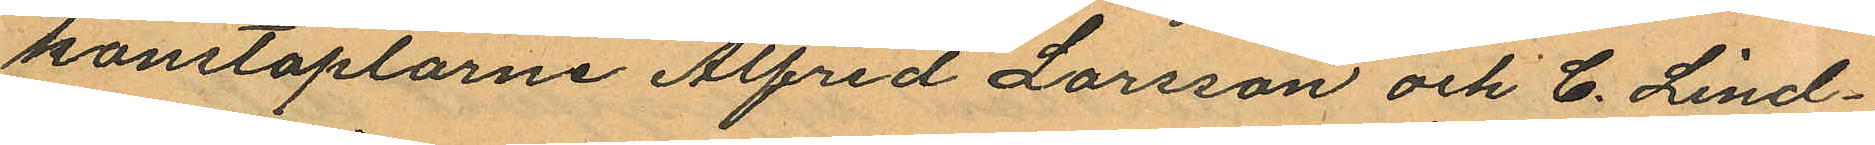konstaplarne Alfred Larsson och C. Lind¬
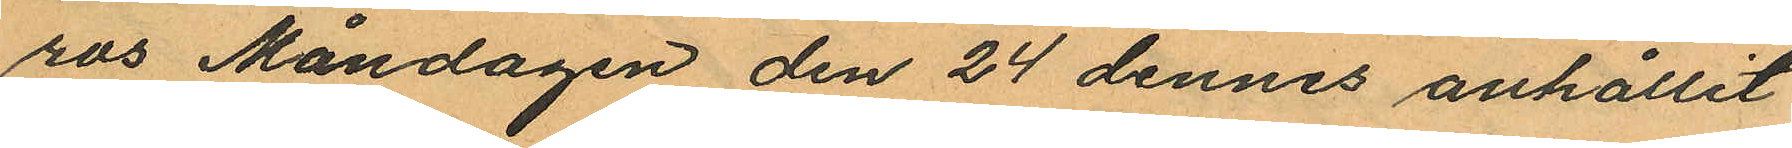ros Måndagen den 24 dennes anhållit
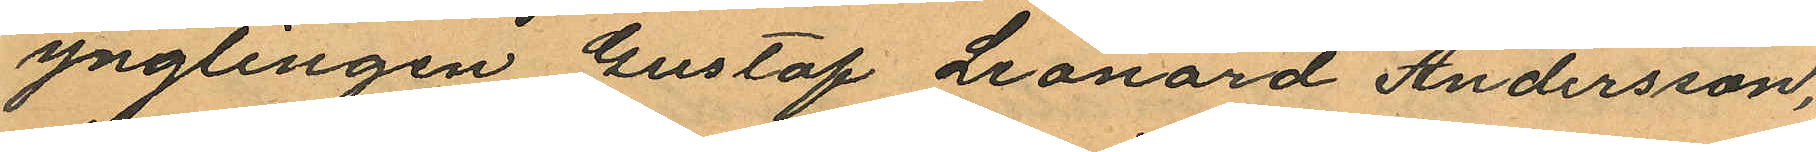ynglingen Gustaf Leonard Andersson,
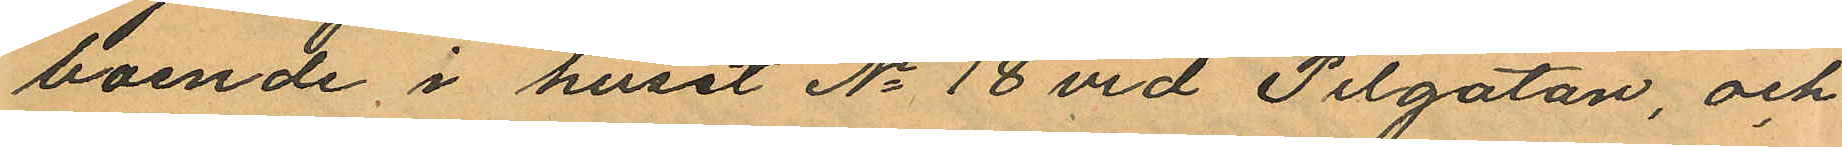boende i huset No 18 vid Pilgatan, och
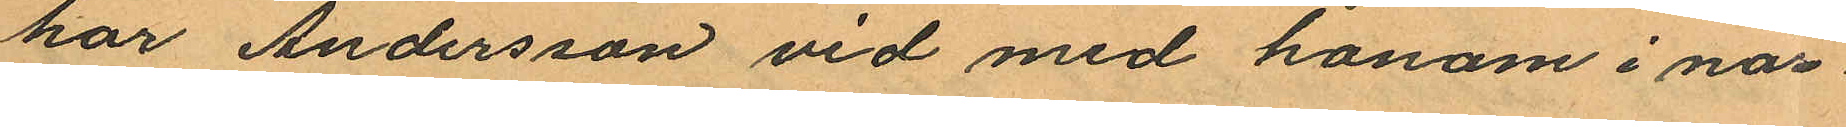har Andersson vid med honom i när¬
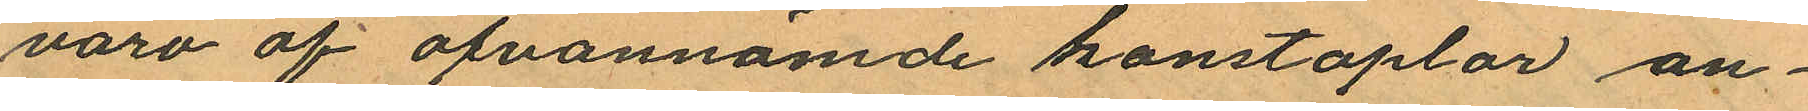varo af ofvannämde konstaplar an¬
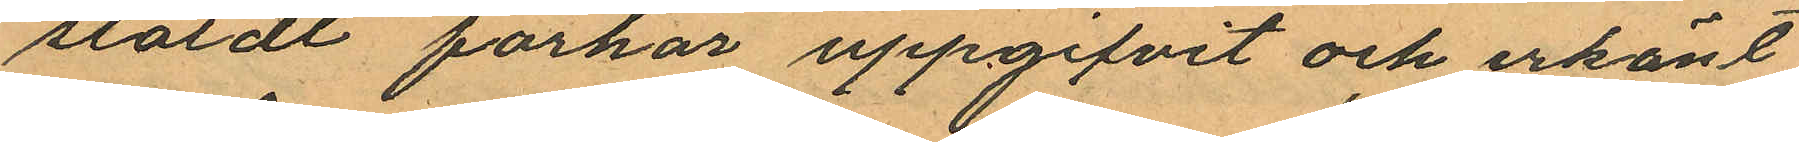stäldt förhör uppgifvit och erkänt
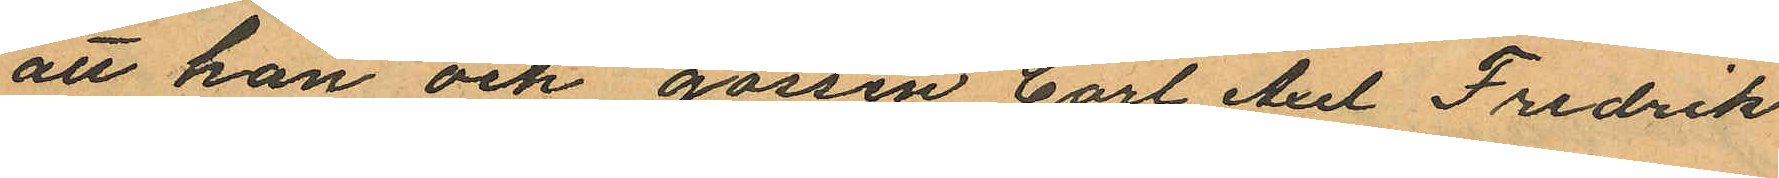att han och gossen Carl Axel Fredrik
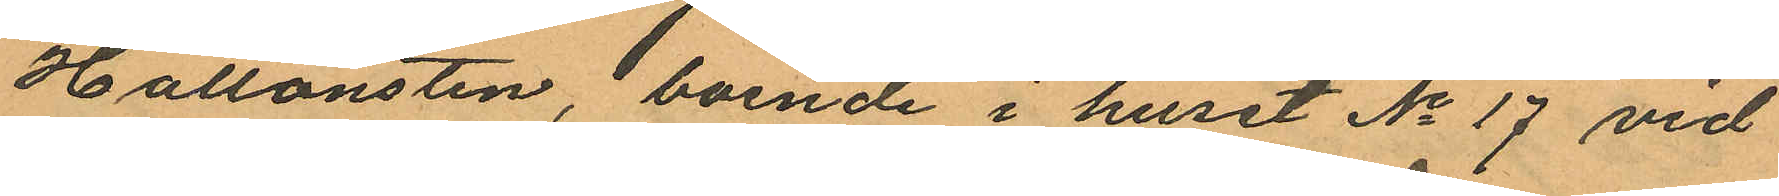Hallonsten, boende i huset No 17 vid
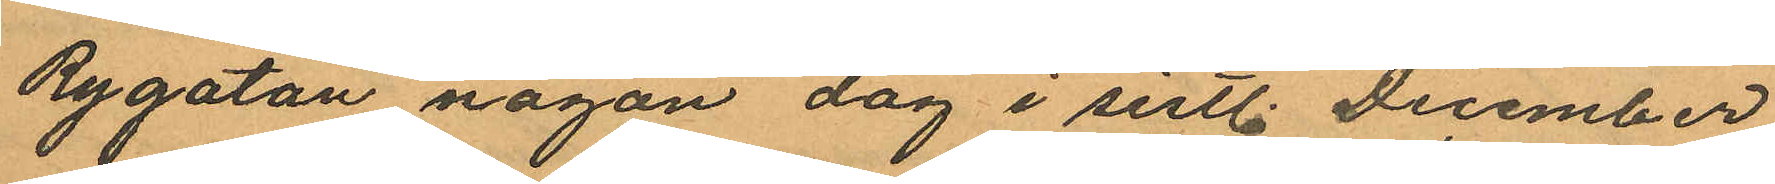Rygatan någon dag i sistl. December
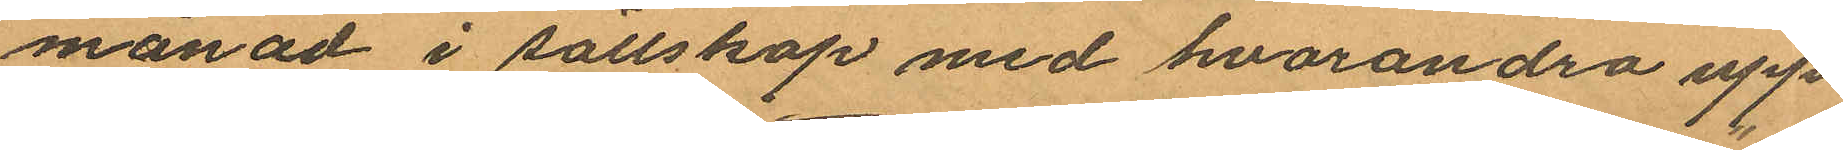månad i sällskap med hvarandra uppe¬
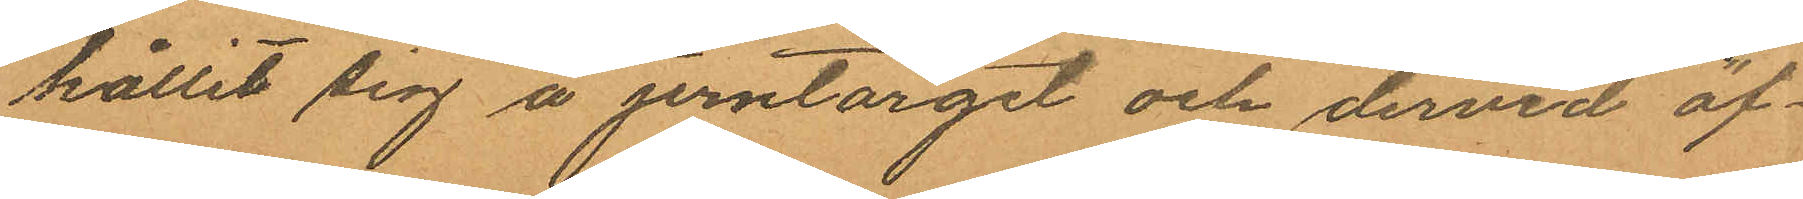hållit sig å Jerntorget och dervid af¬
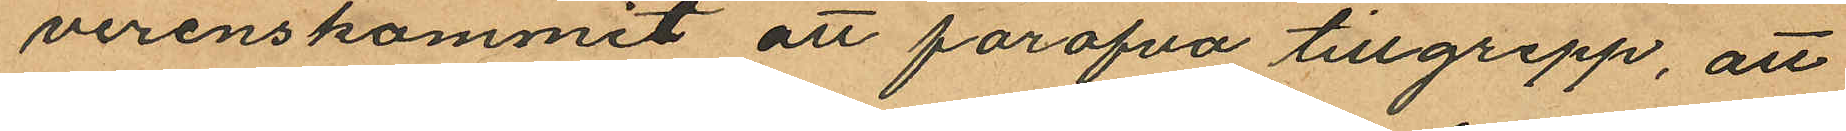verenskommit att föröfva tillgrepp, att
